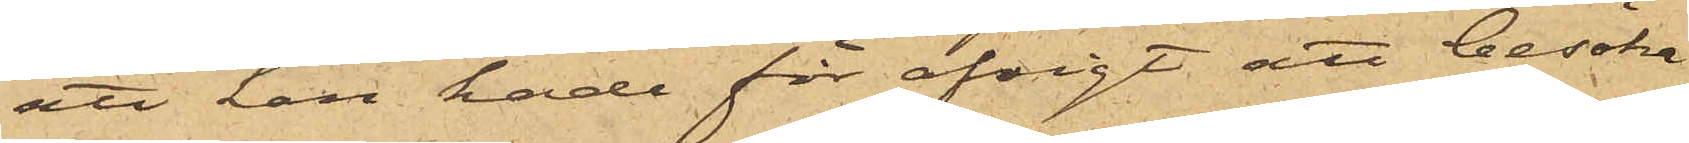att han hade för afsigt att besöka
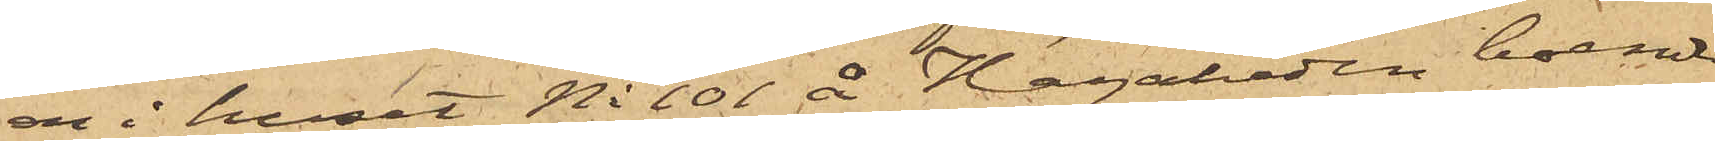en i huset No 101 å Hagaheden boende
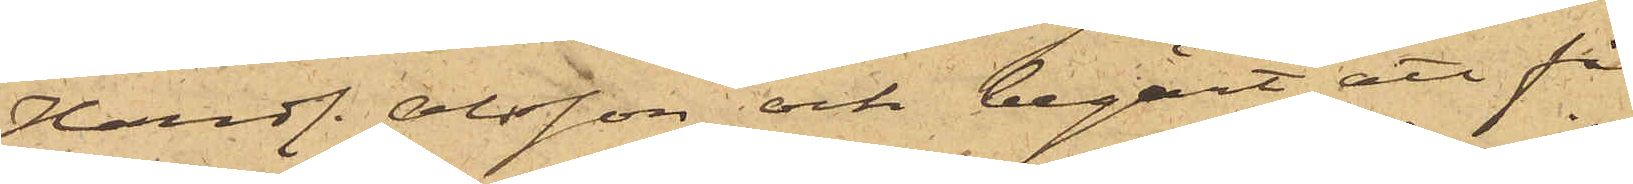Handl. Olsson och begärt att få
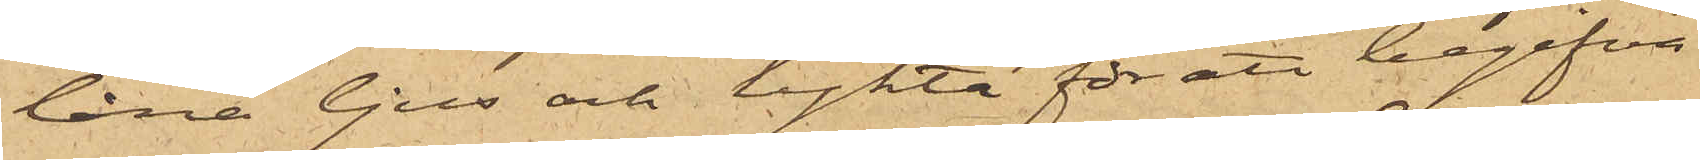låna ljus och lykta för att begifva
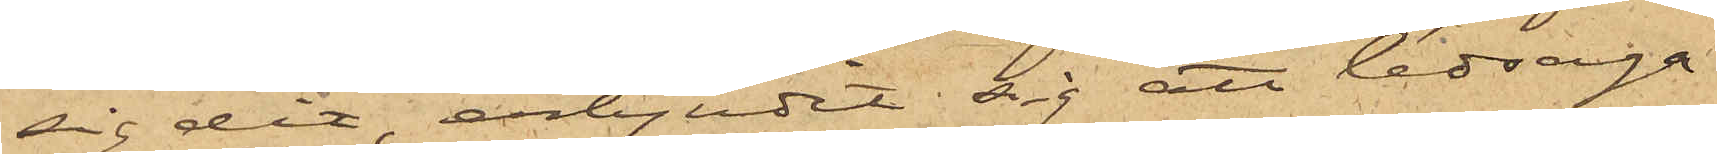sig dit, erbjudit sig att ledsaga
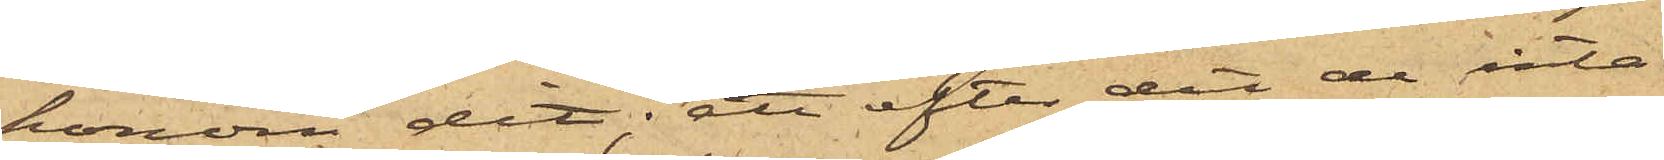honom dit; att efter det de inta¬
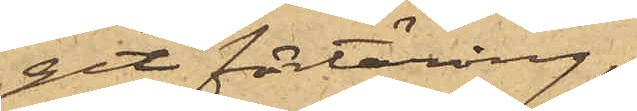git förtäring,
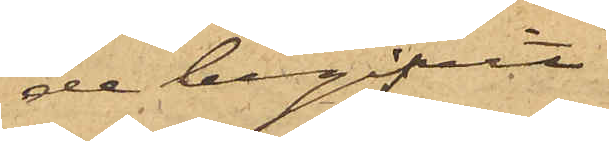de begifvit
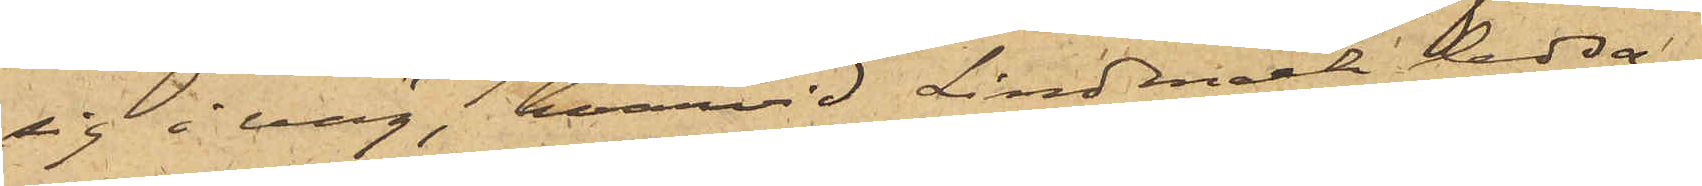sig i väg, hvarvid Lindmark ledsa¬
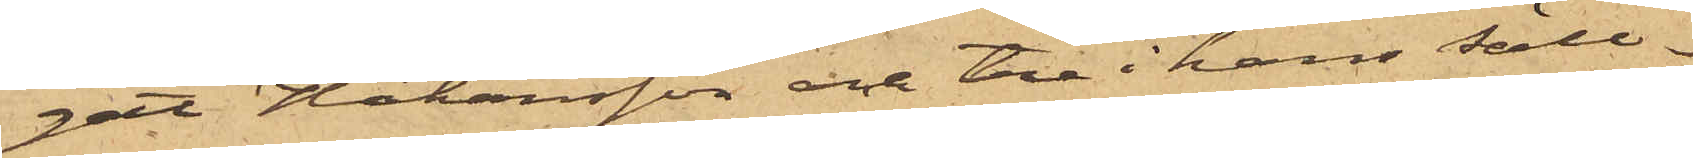gat Håkansson och tre i hans säll¬
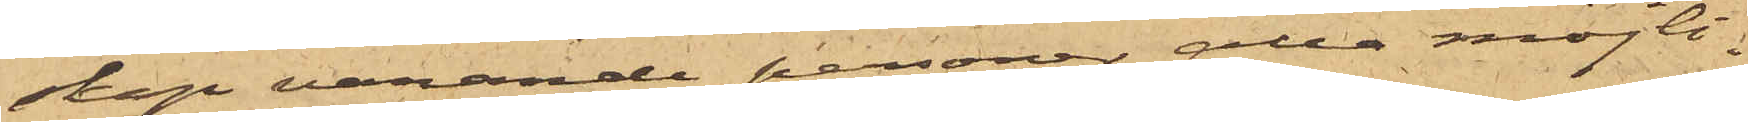skap varande personer, alla möjli¬
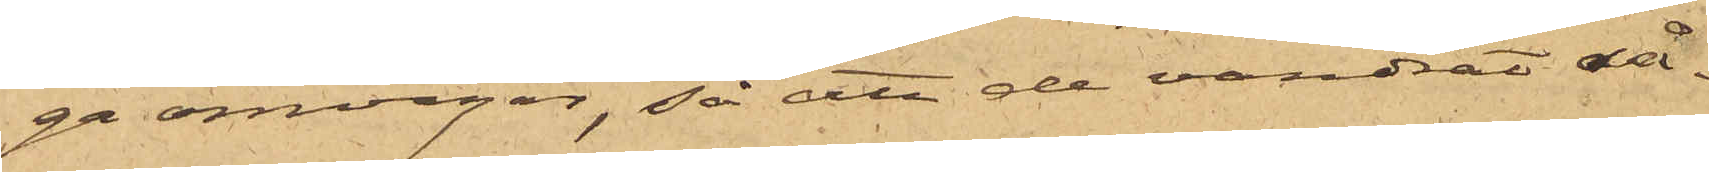ga omvägar, så att de vandrat så¬
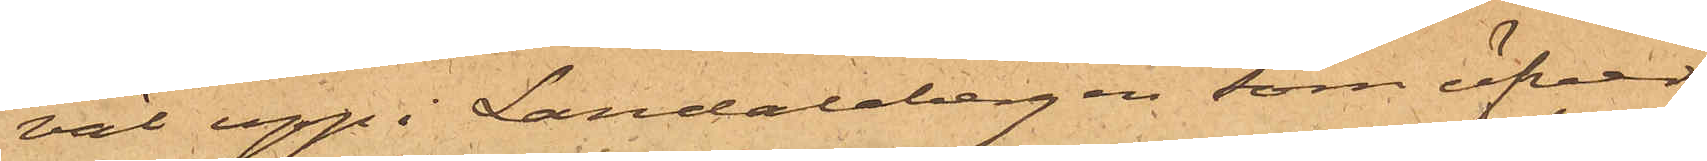väl upp i Landalabergen som öfver
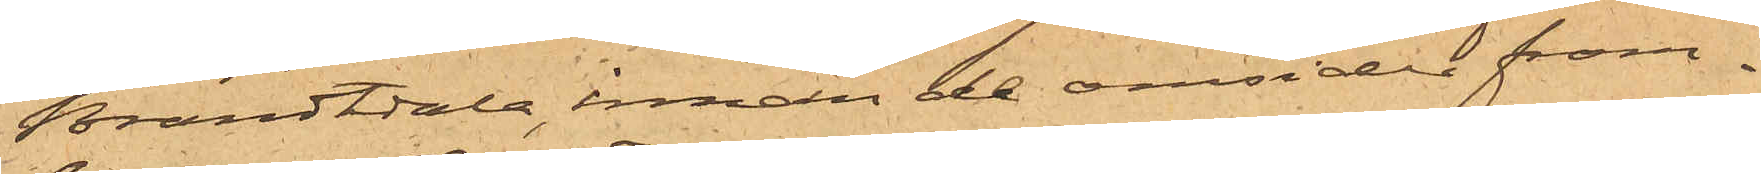Brandtdala, innan de omsider fram¬
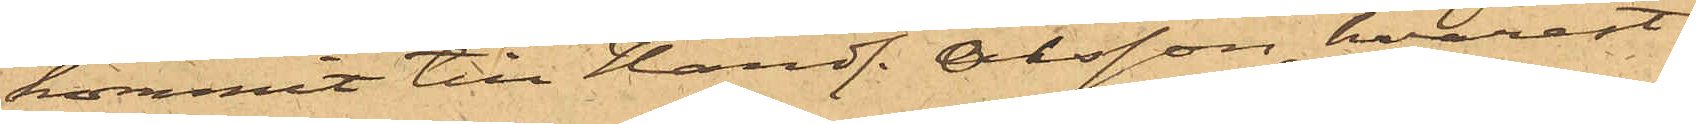kommit till Handl. Olsson, hvarest
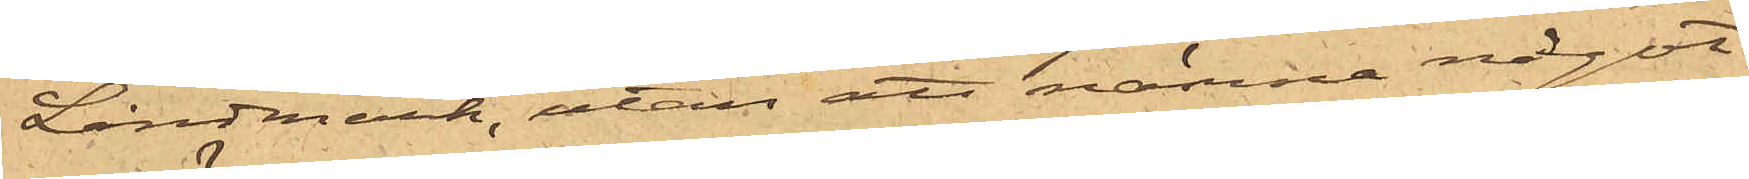Lindmark, utan att nämna något
